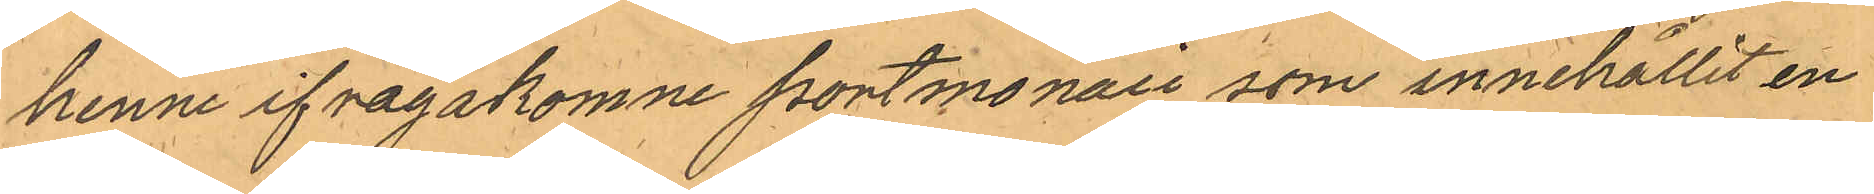henne ifrågakomne portmonaie som innehållit en
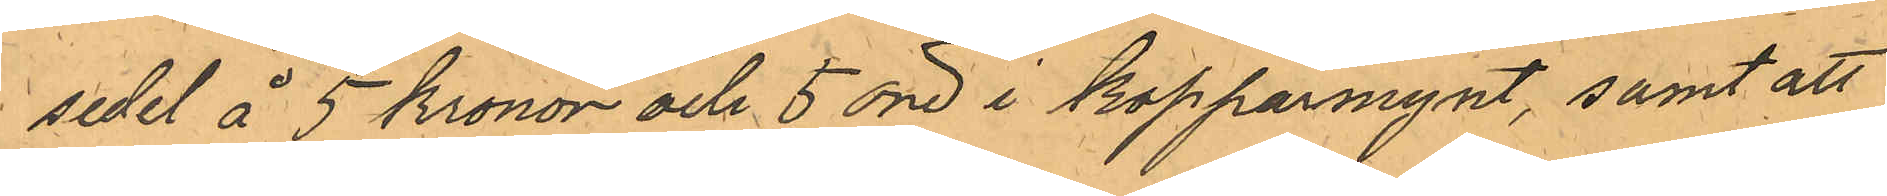sedel å 5 kronor och 5 öre i Kopparmynt, samt att
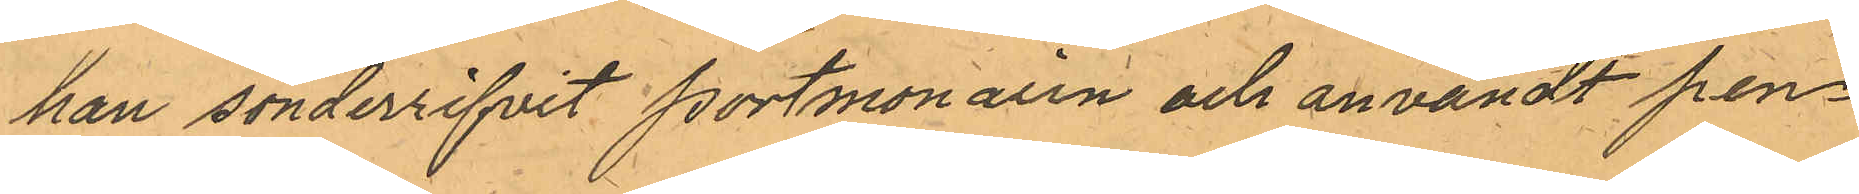han sönderrifvit Portmonaien och användt pen¬
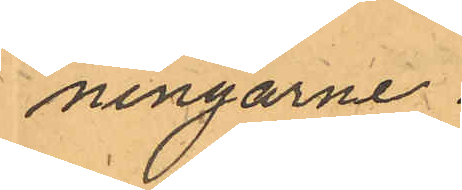ningarne.
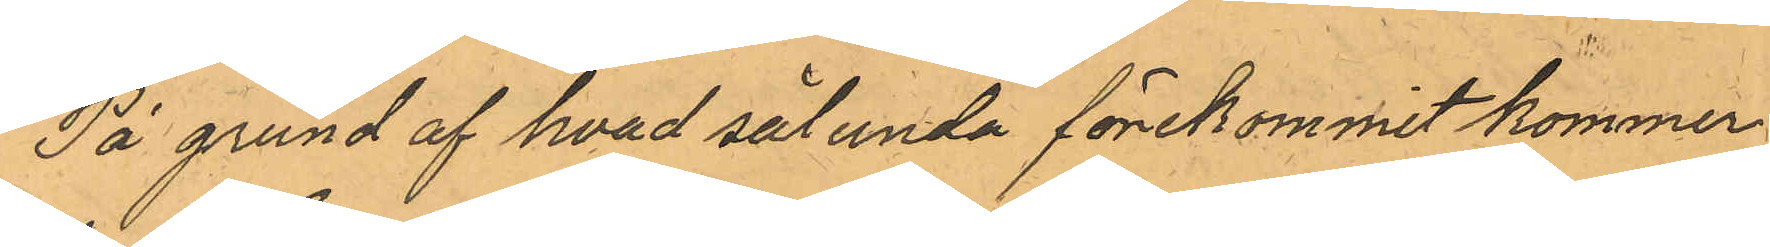På grund af hvad sålunda förekommit kommer
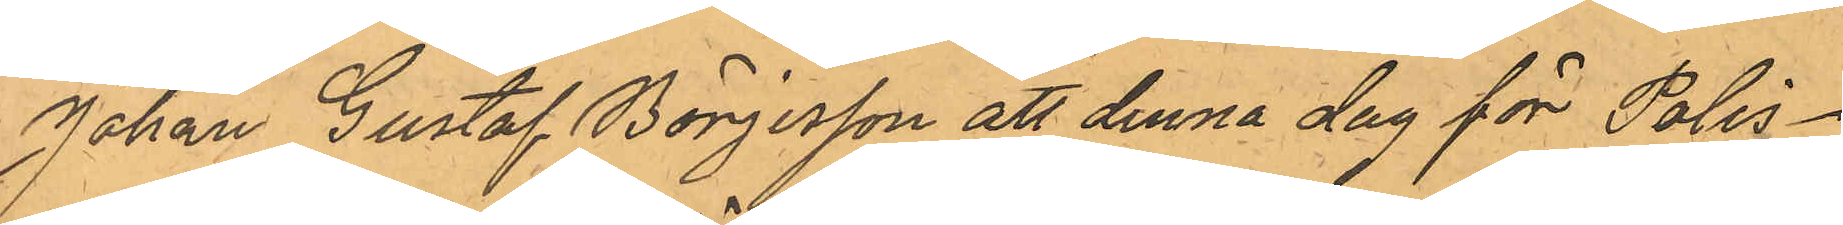Johan Gustaf Börjesson att denna dag för Polis¬
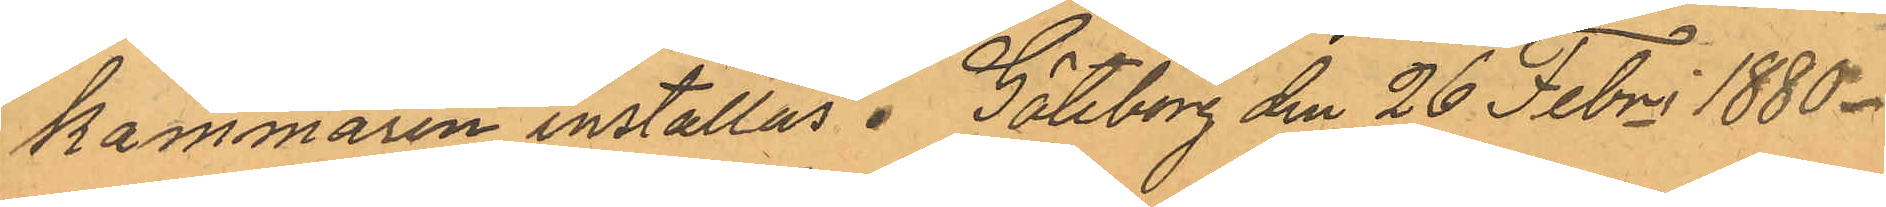Kammaren inställas. Göteborg den 26 Febri 1880.
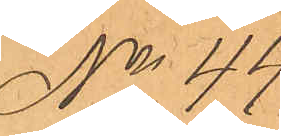No 44.
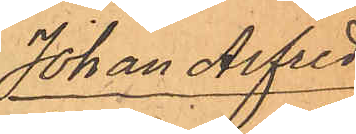Johan Alfred 
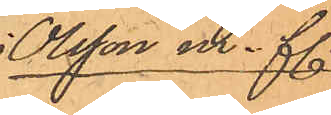Olsson m. fl.
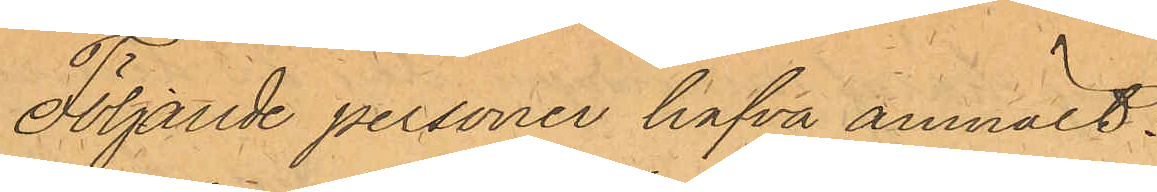Följande personer hafva anmält:
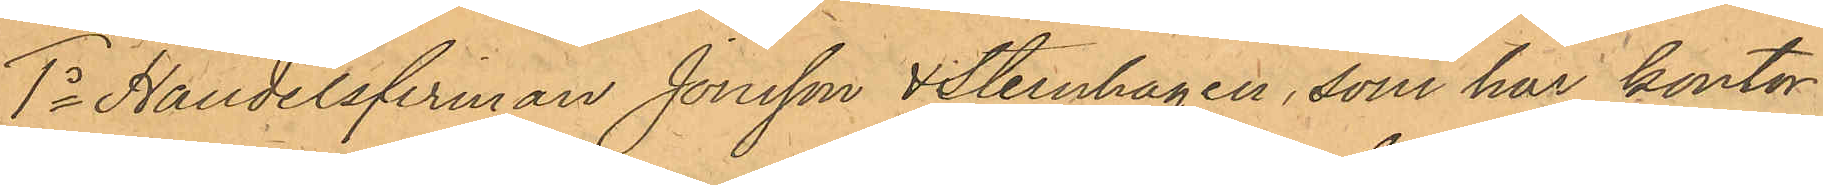1o Handelsfirman Jonsson & Sternhagen, som har kontor i
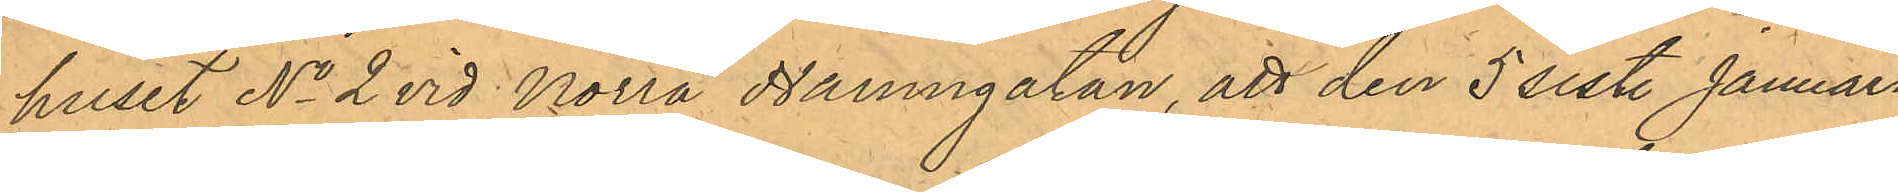huset No 2 vid Norra Hamngatan att den 5 sist. Januari
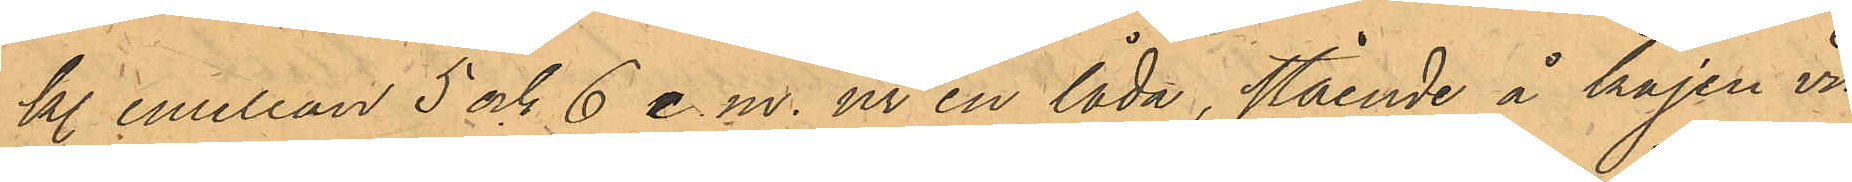kl. emellan 5 och 6 e.m. ur en låda, stående å kajen vid
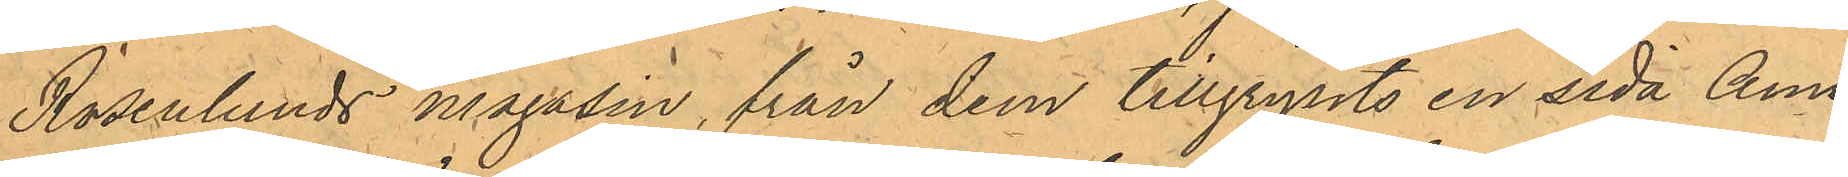Rosenlunds magasin, från dem tillgripits en sida Ame¬
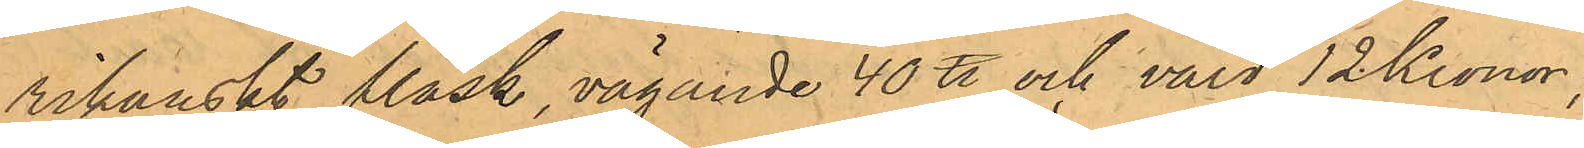rikanskt fläsk, vägande 40 ℔ och värd 12 Kronor;
